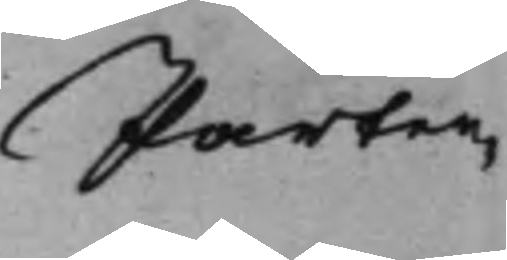Parter¬
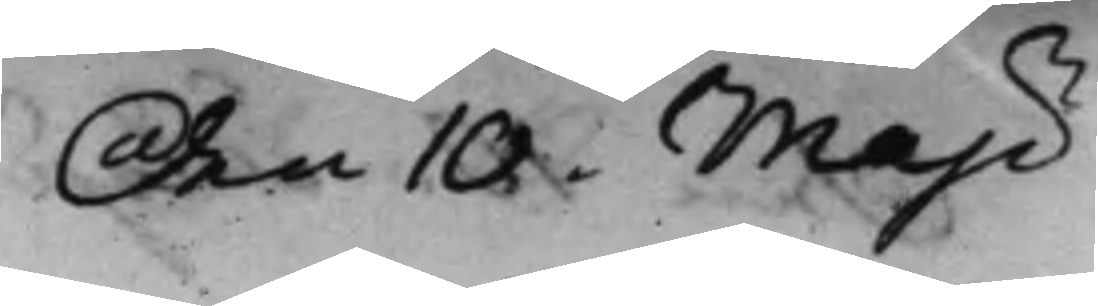den 10 Maji
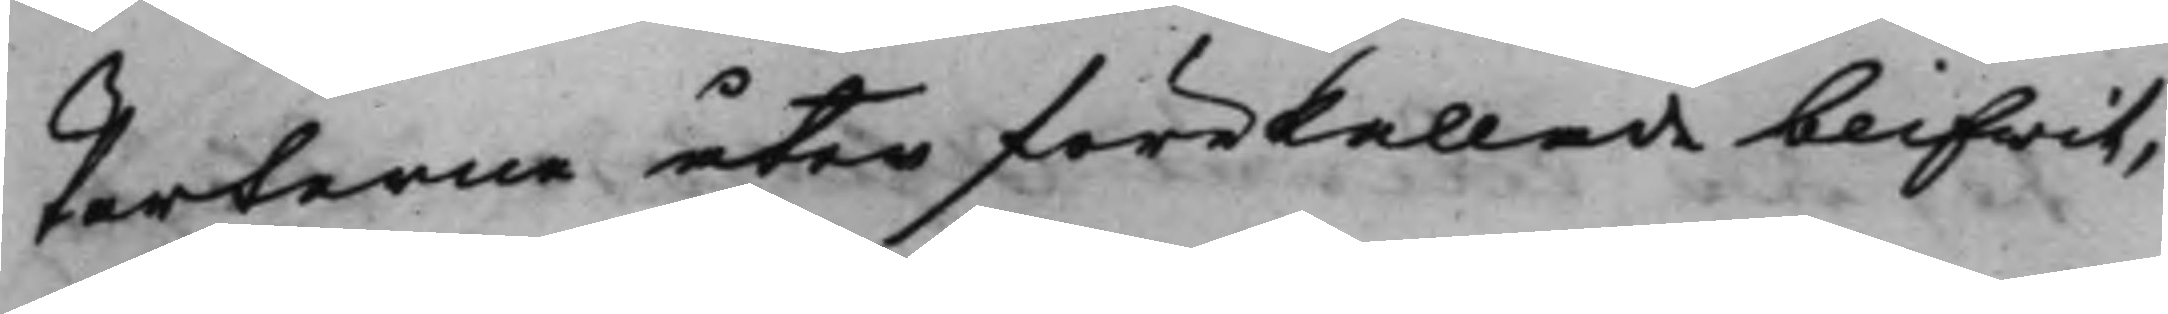Parterne åter förekallade blifwit,
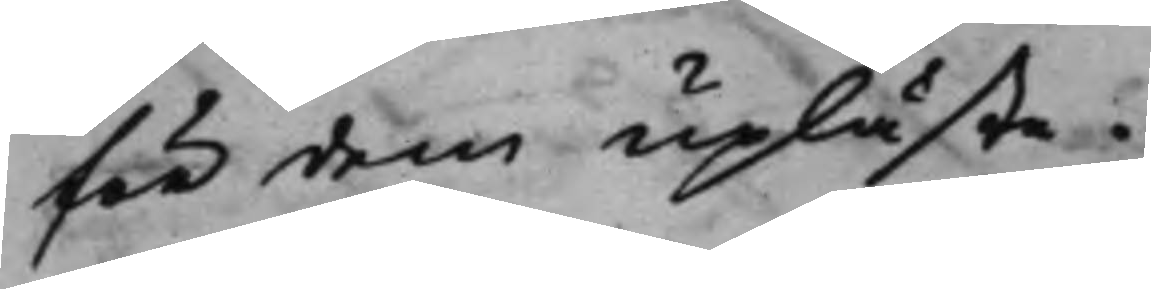för dem upläste.
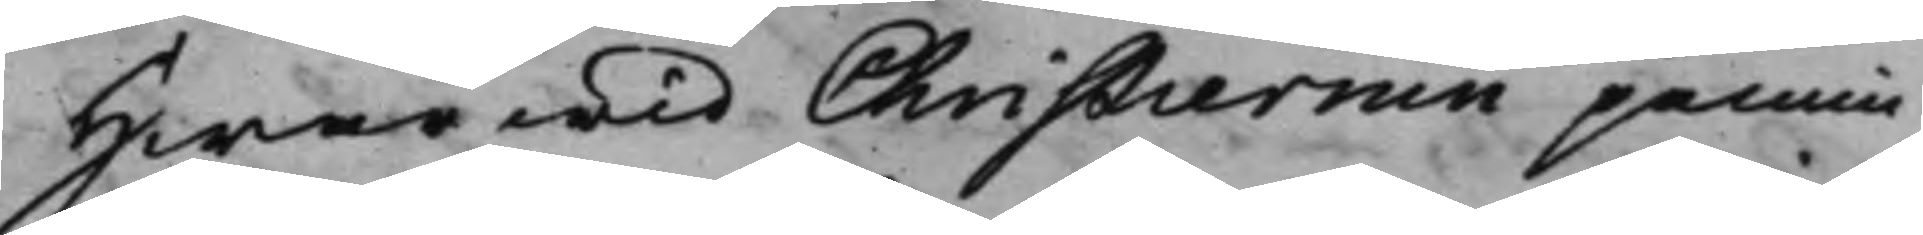Hwarwid Christiernin påmin¬
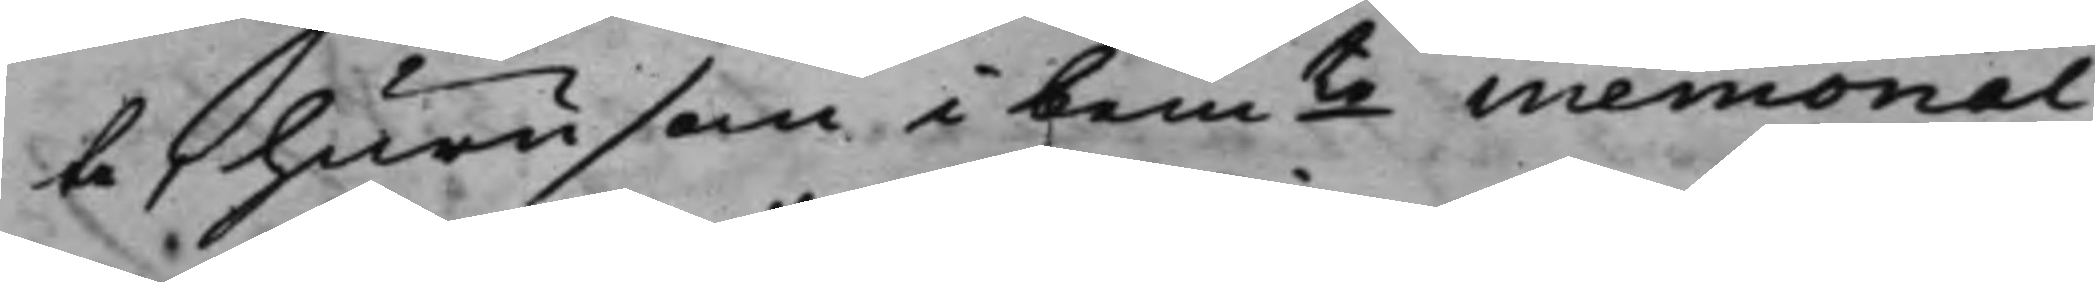te, hurusom i bemte Memorial 
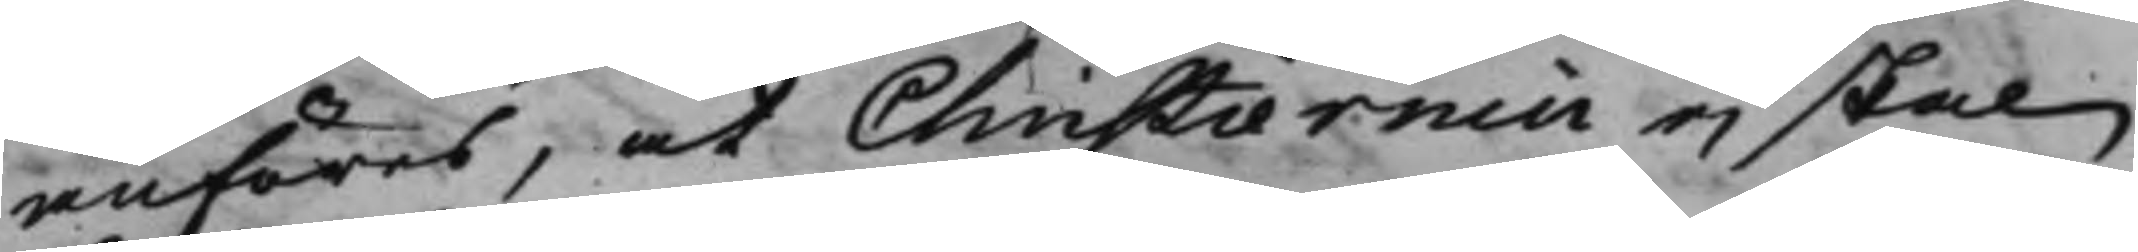anföres, at Christiernin ej skal
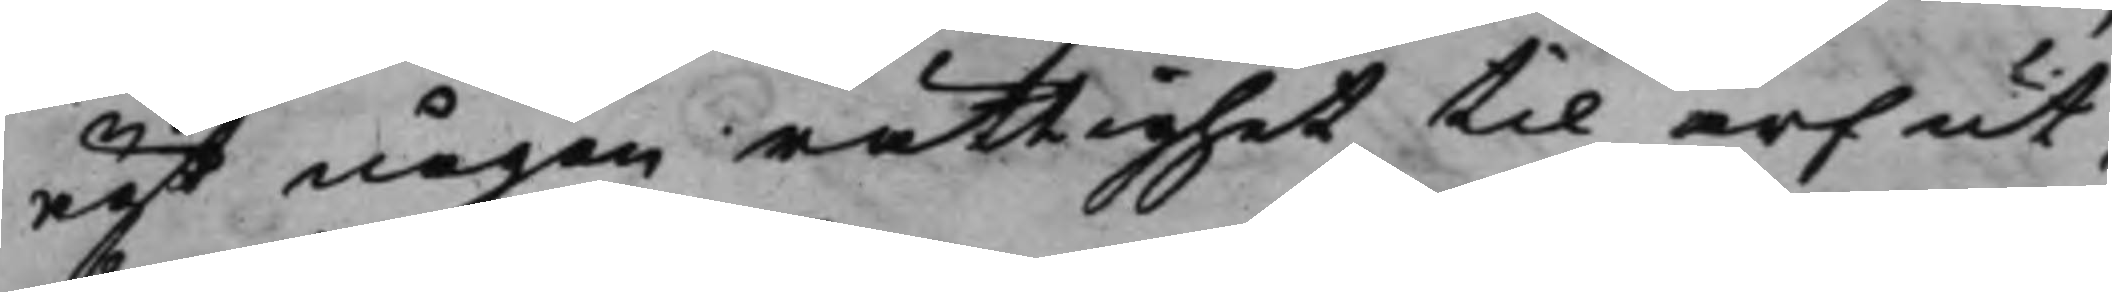ägt någon rättighet til arf ut¬
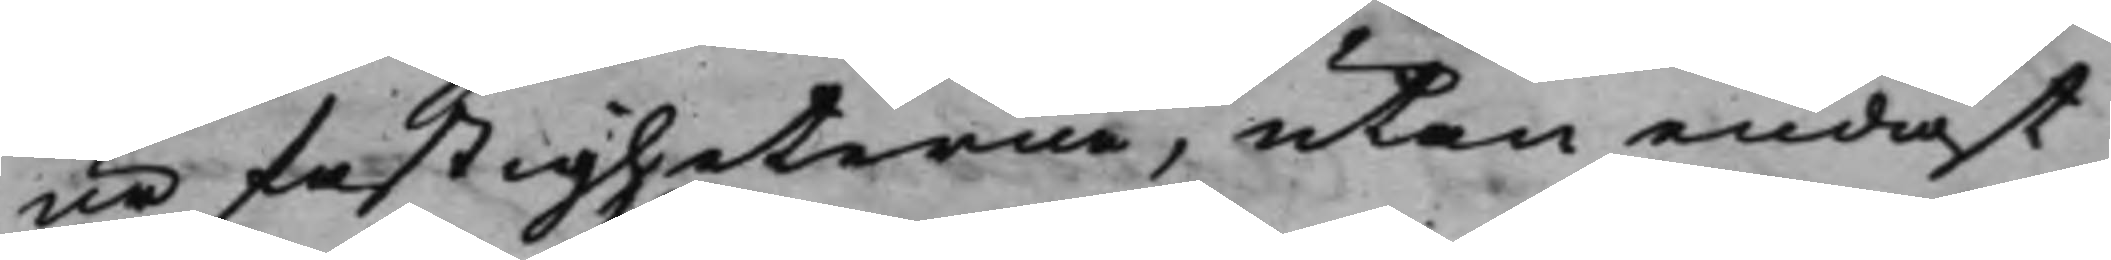ur fastigheterne, utan endast
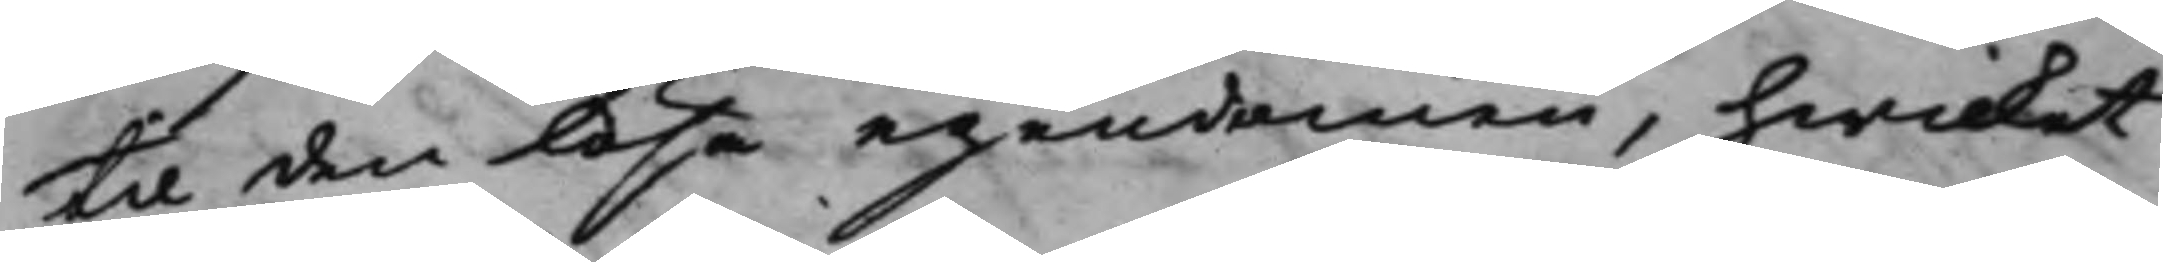til den lösa egendomen, hwilket
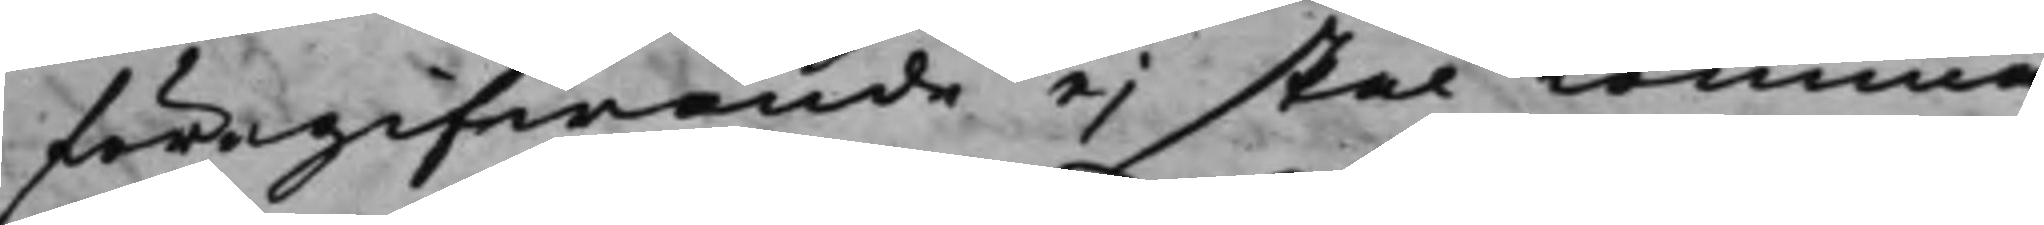föregifwande ej skal Komma
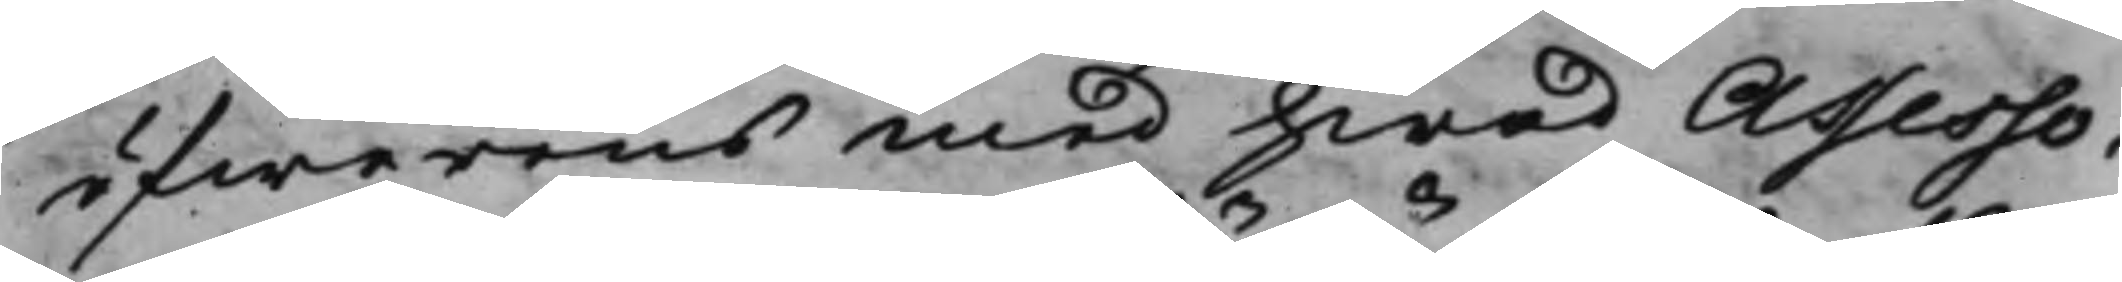öfwerens med hwad Assesso¬
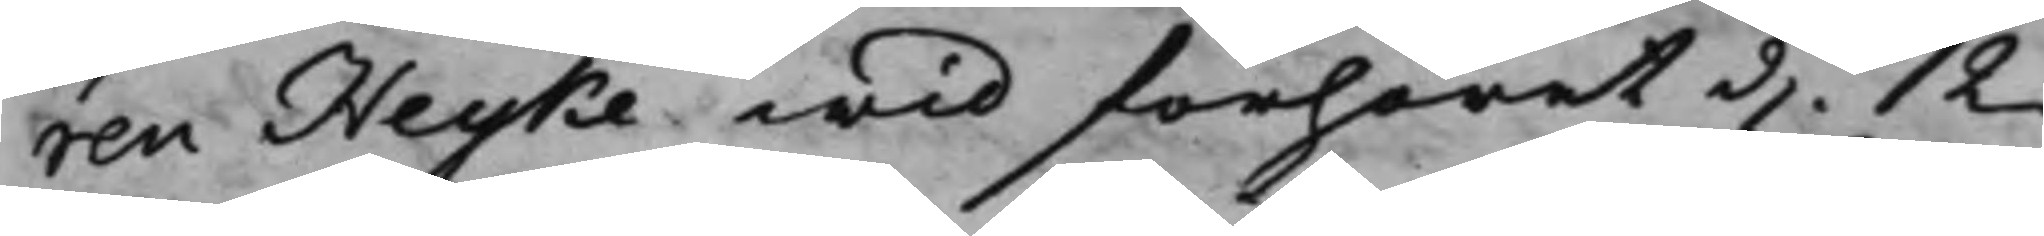ren Heyke wid förhöret d. 12 
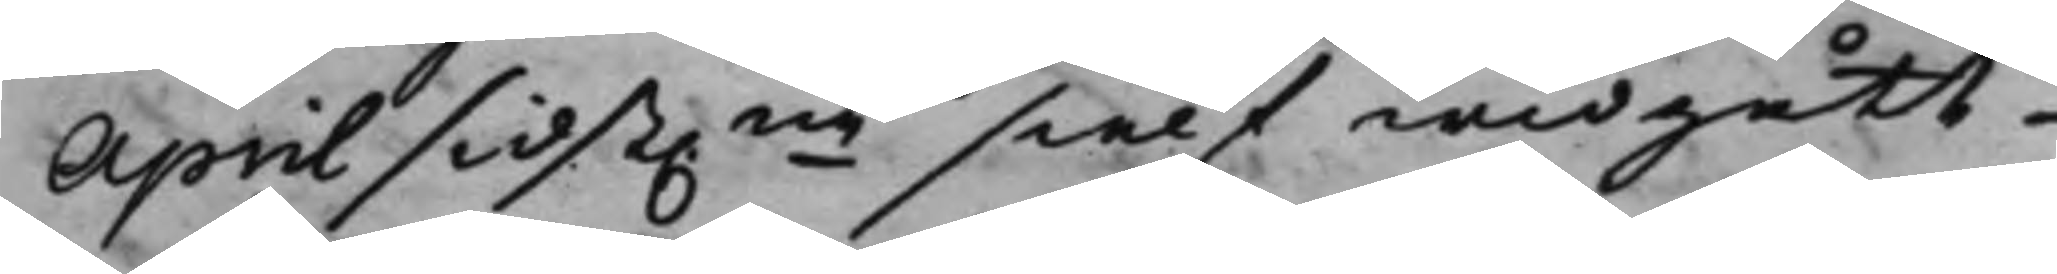April sidst.ne sielf widgått, 
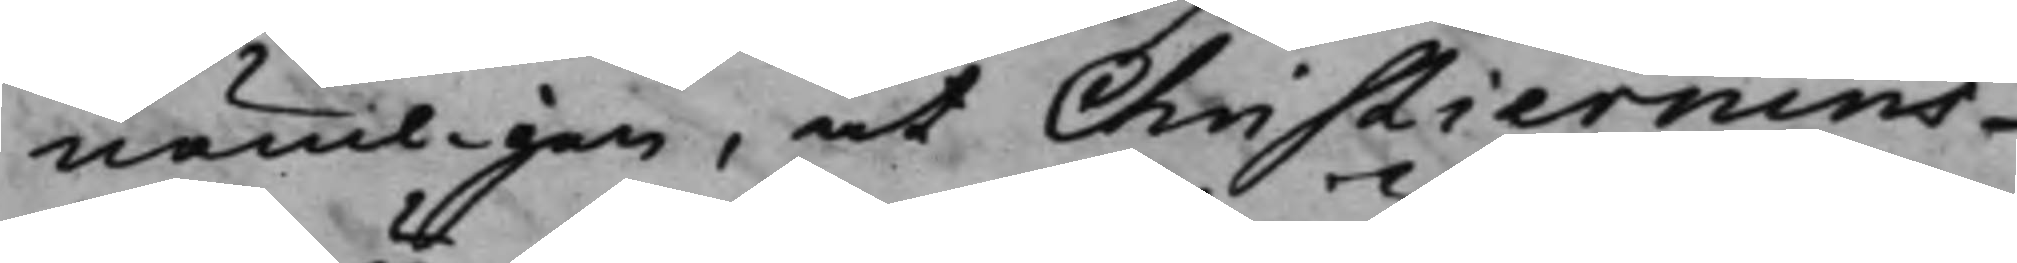nämligen, at Christiernins
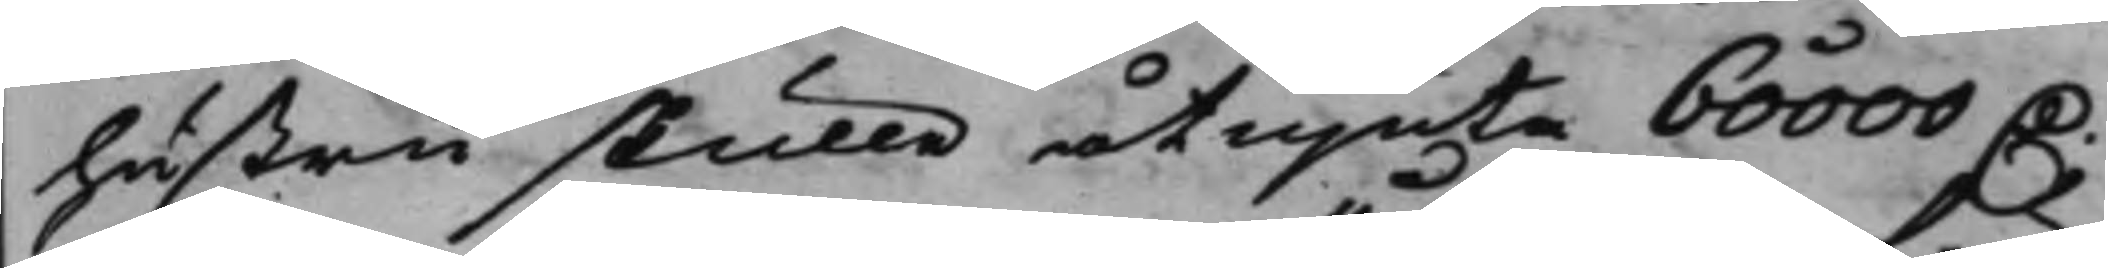hustru skulle åtniuta 60000 D. 
